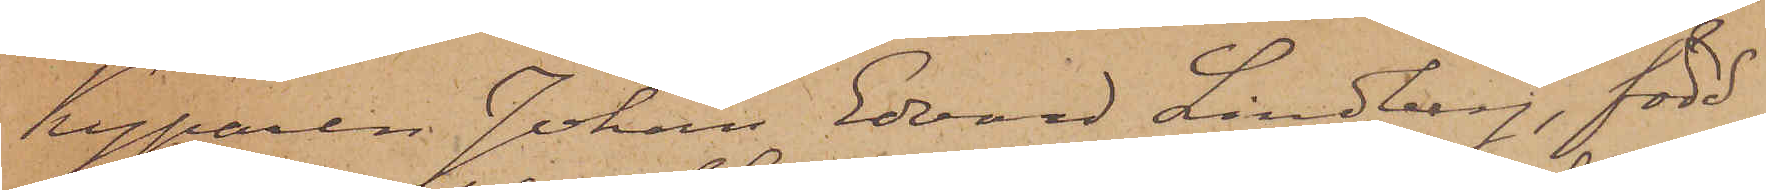Kyparen Johan Edvard Lindberg, född
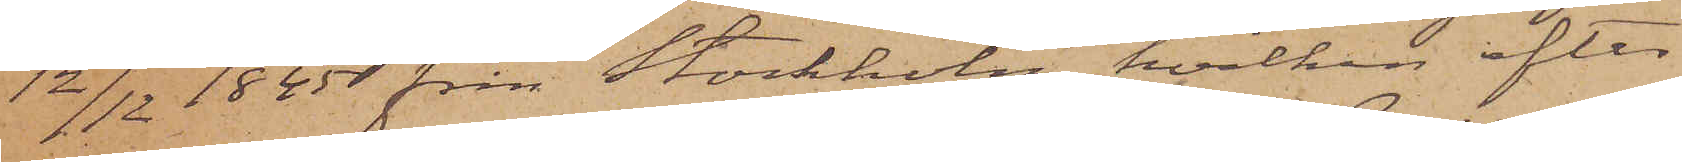12/12 1845 från Stockholm, hvilken efter
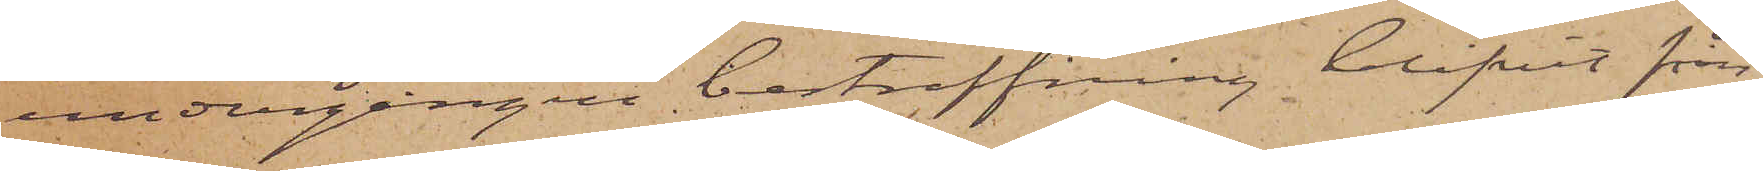undergången bestraffning blifvit från
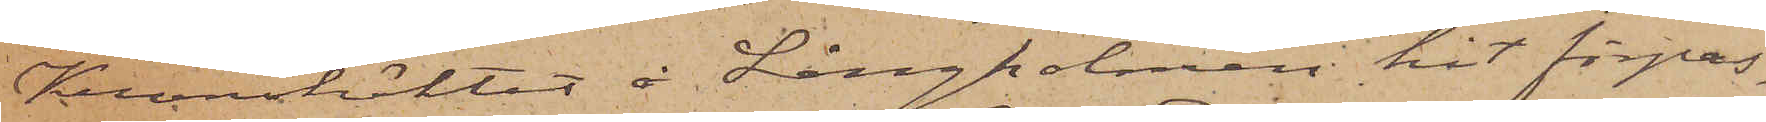Kronohäktet å Långholmen hit förpas¬
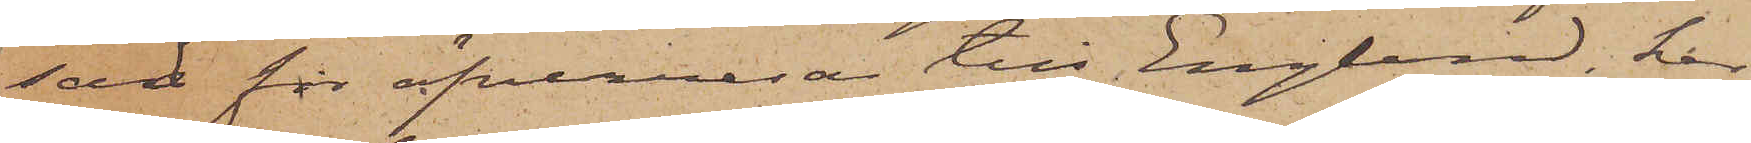sad för öfverresa till England, har,
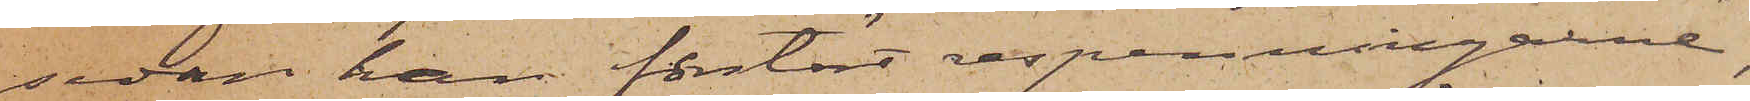sedan han förstört respenningarne,
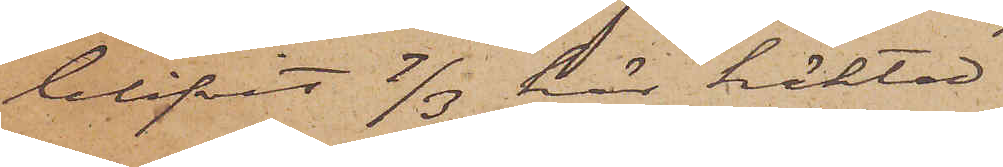blifvit 7/3 här häktad
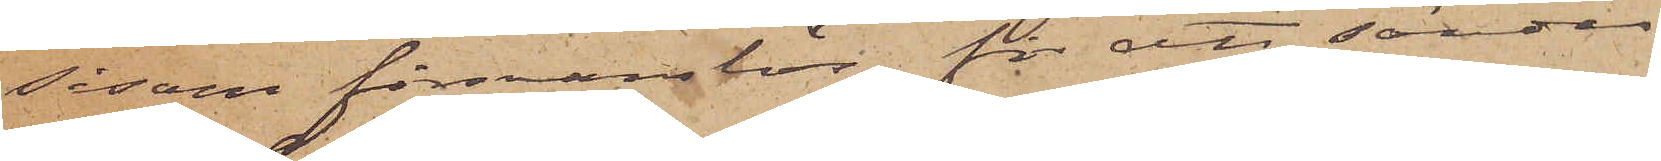såsom försvarslös för att sändas
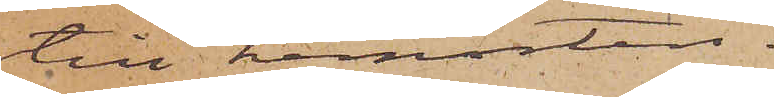till hemorten.
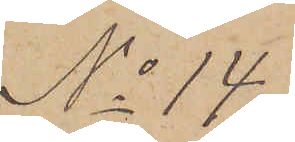No 14.
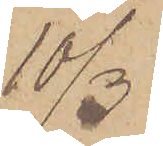10/3.
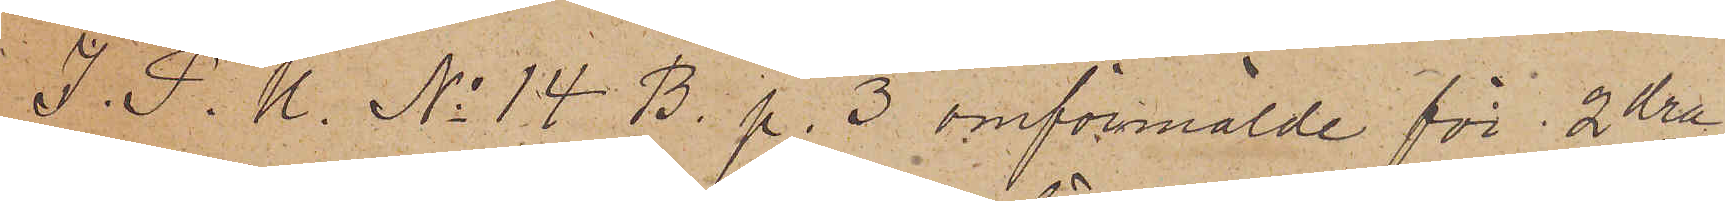I. P. U. No 14 B. p. 3 omförmälde för 2dra
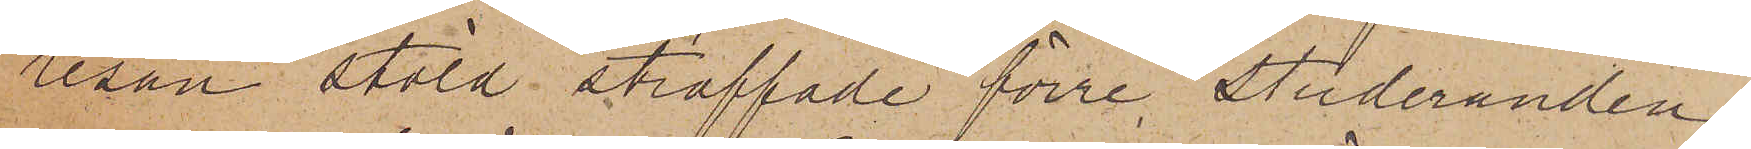resan stöld straffade förre Studeranden
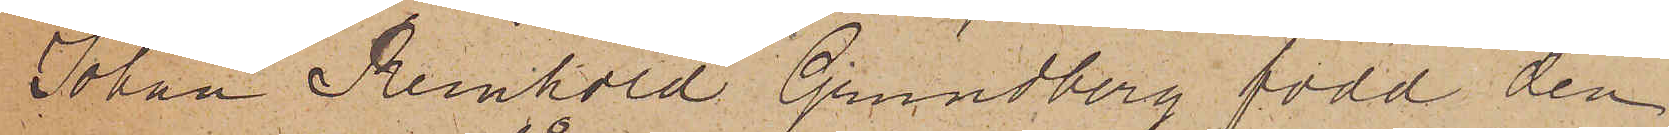Johan Reinhold Grundberg född den
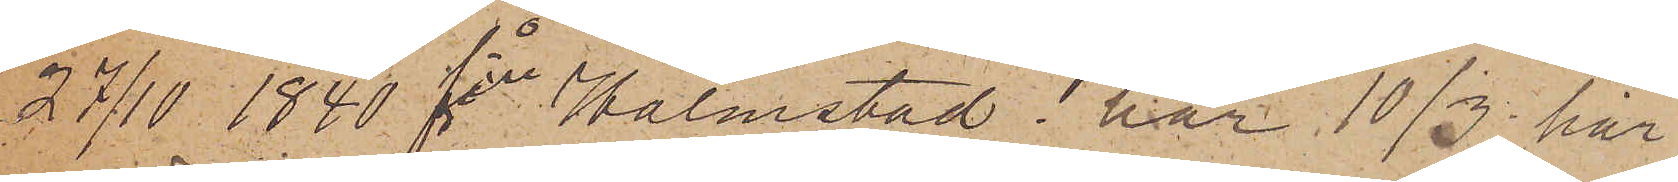27/10 1840 från Halmstad har 10/3 här
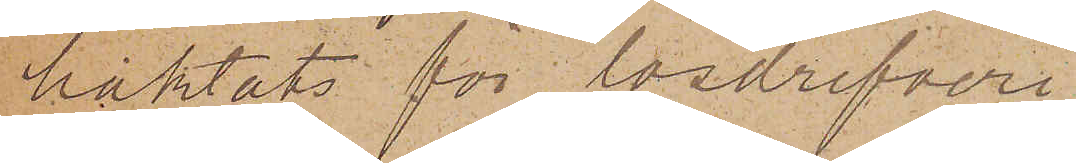häktats för lösdrifveri
